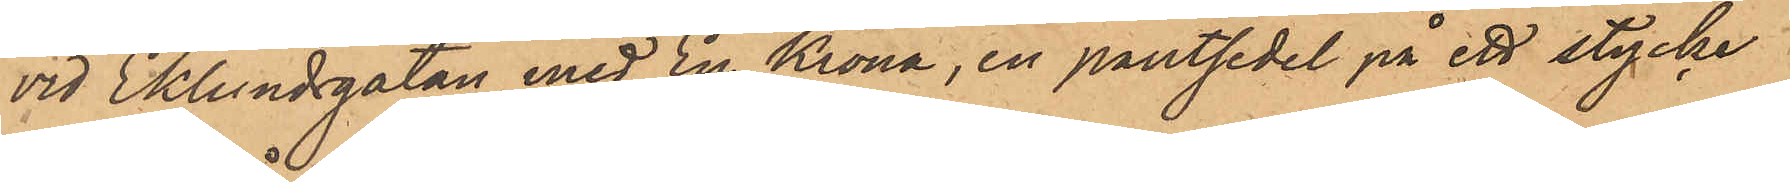vid Eklundsgatan med En Krona, en pantsedel på ett stycke
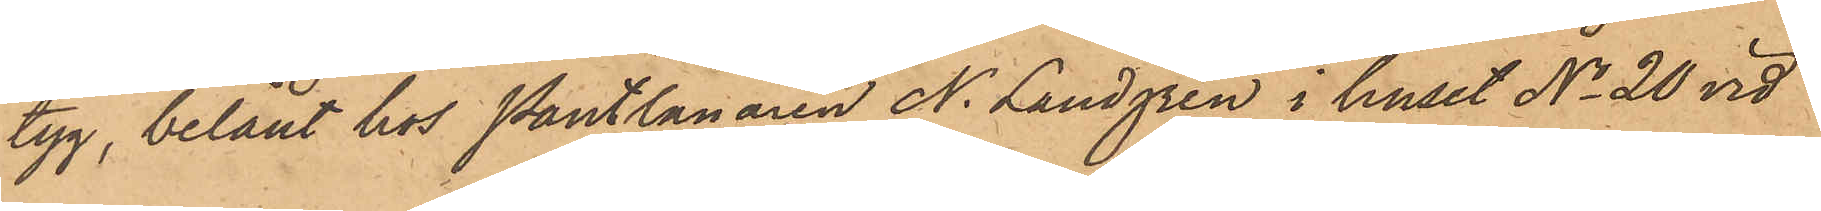tyg, belånt hos Pantlånaren N. Lundgren i huset No 20 vid
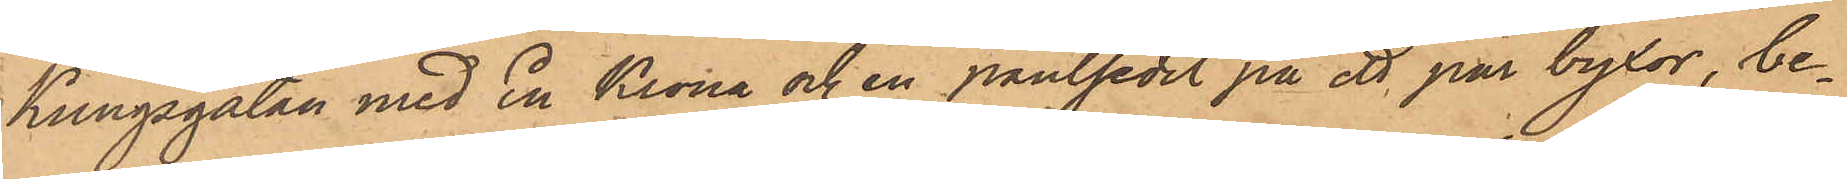Kungsgatan med En Krona och en pantsedel på ett par byxor, be¬
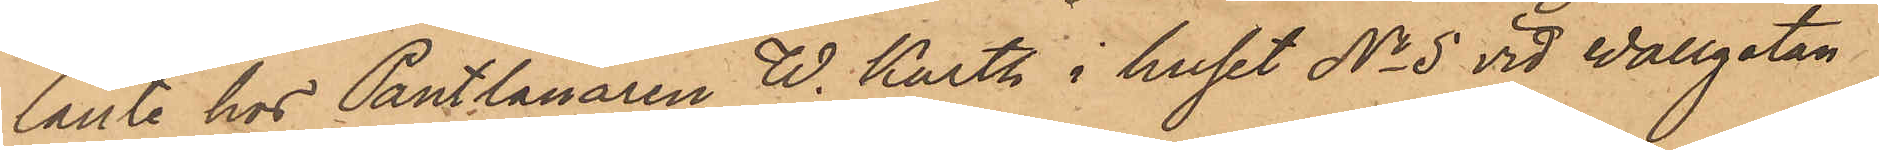lånte hos Pantlånaren W. Karth i huset No 5 vid Wallgatan
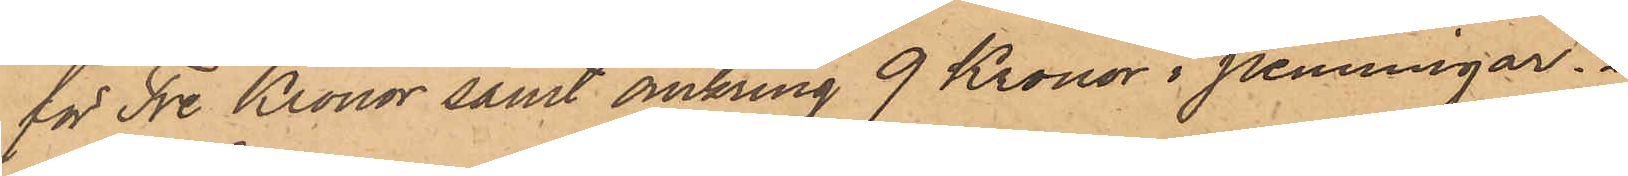för Tre Kronor samt omkring 9 Kronor i penningar.
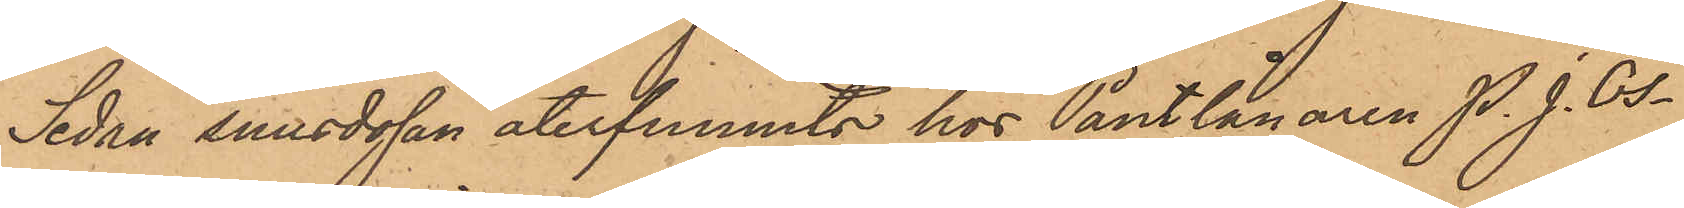Sedan snusdosan återfunnits hos Pantlånaren P. J. Os¬
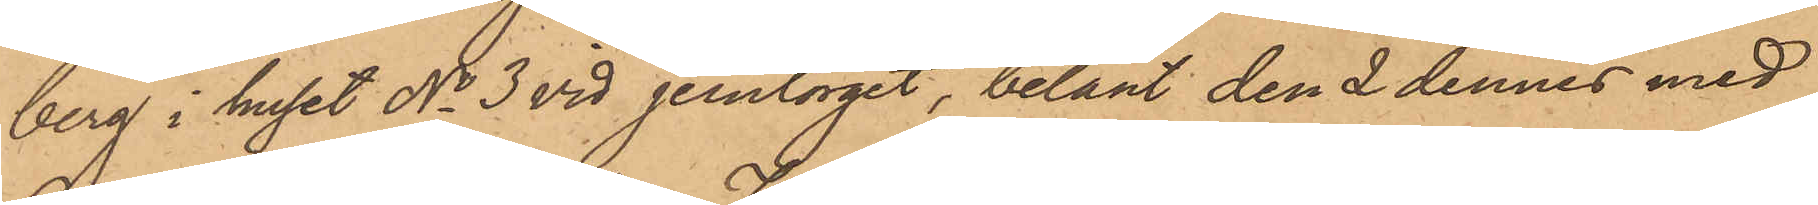berg i huset No 3 vid Jerntorget, belånt den 2 dennes med
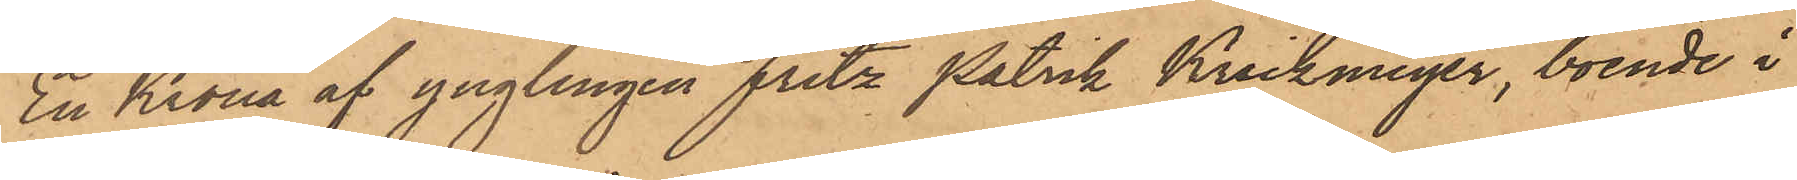En Krona af ynglingen Fritz Patrik Krickmeyer, boende i
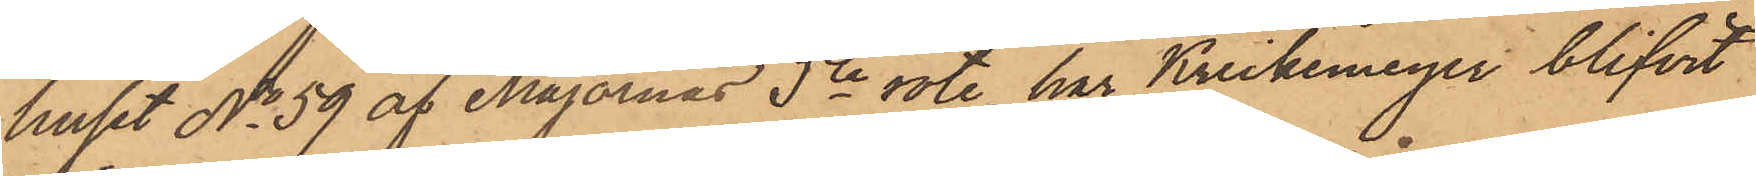huset No 59 af Majornas 5te rote, har Krickemeyer blifvit
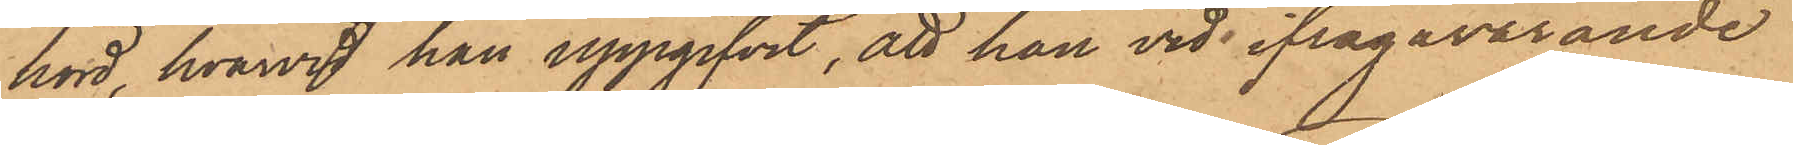hörd, hvarvid han uppgifvit, att han vid ifrågavarande
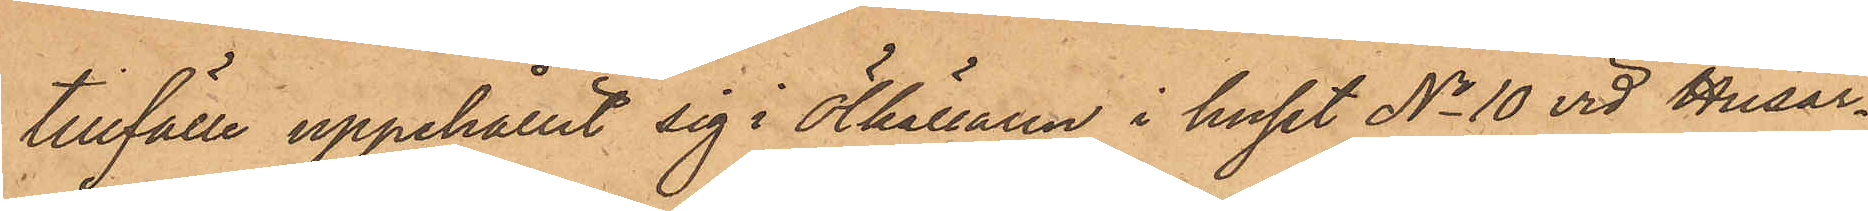tillfälle uppehållit sig i Ölkällaren i huset No 10 vid Husar¬
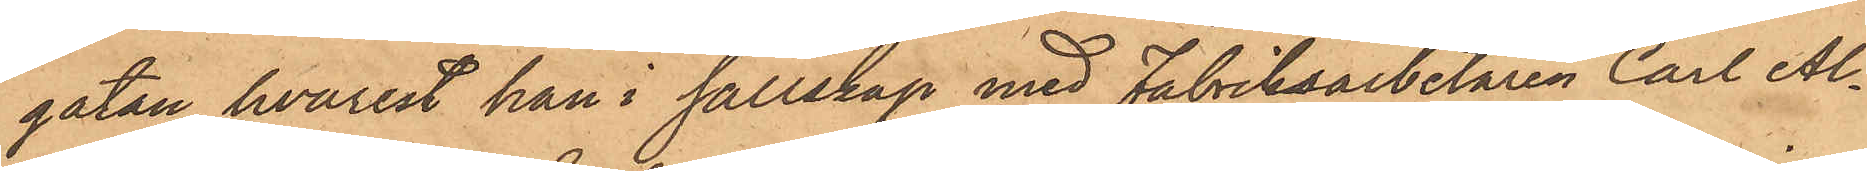gatan, hvarest han i sällskap med Fabriksarbetaren Carl Al¬
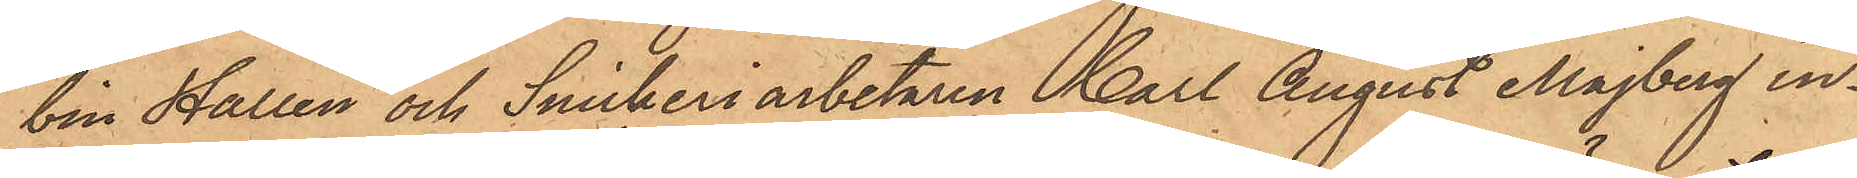bin Hallén och Snickeriarbetaren Carl August Majberg in¬
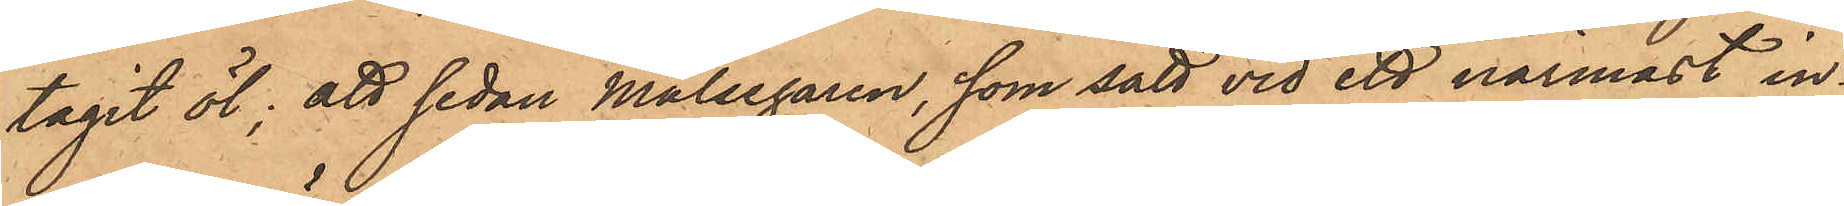tagit öl; att sedan målsegaren, som satt vid ett närmast in¬
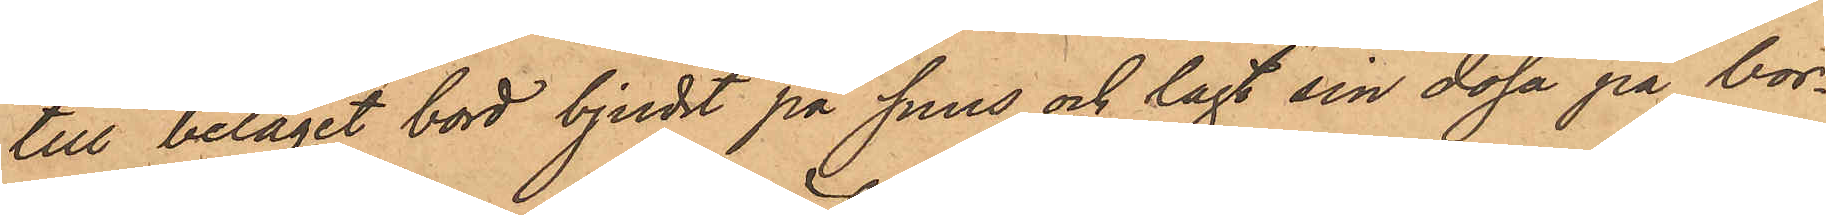till beläget bord bjudit på snus och lagt sin dosa på bor¬
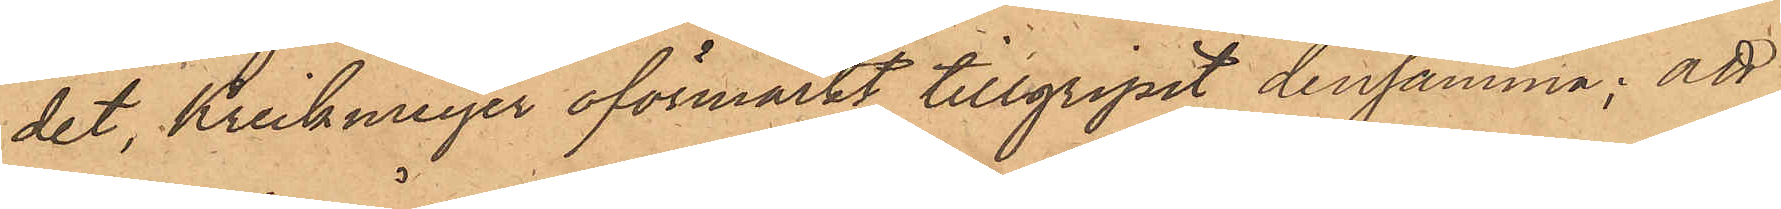det, Krickmeyer oförmärkt tillgripit densamma; att
